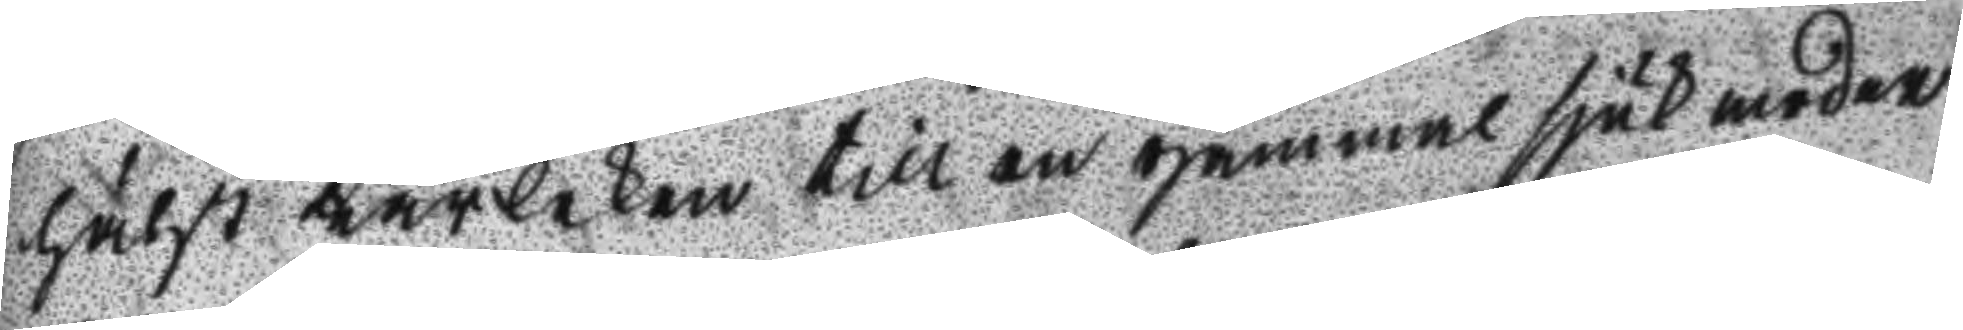hälst kärleken till en gammal sjuk moder
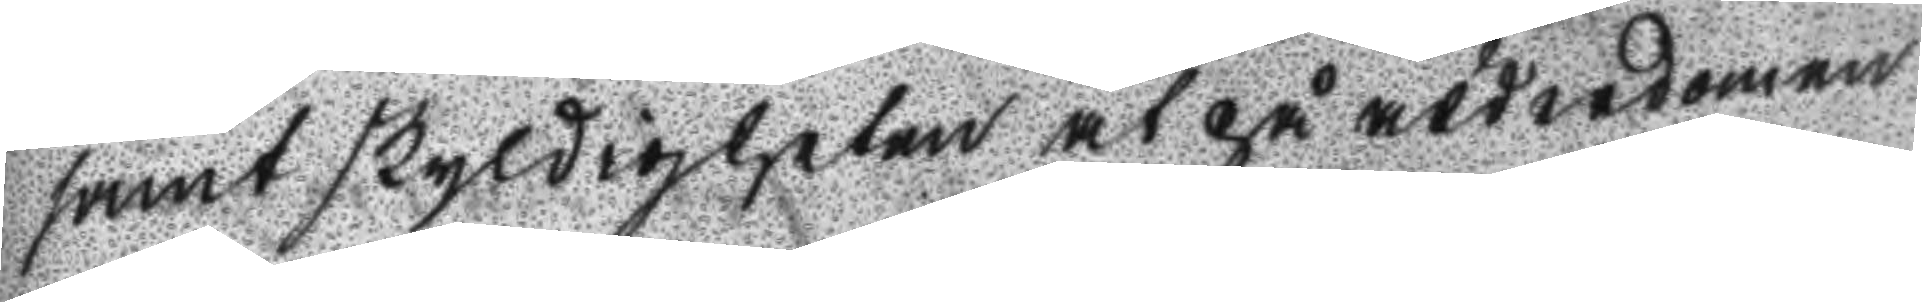samt skyldigheten at på ålderdomen
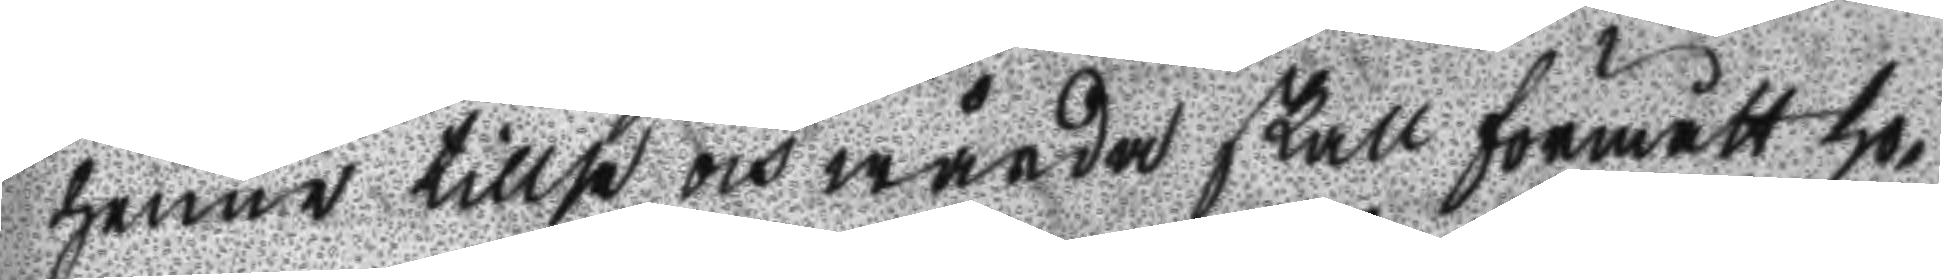henne tillse och wårda skall förmått ho¬
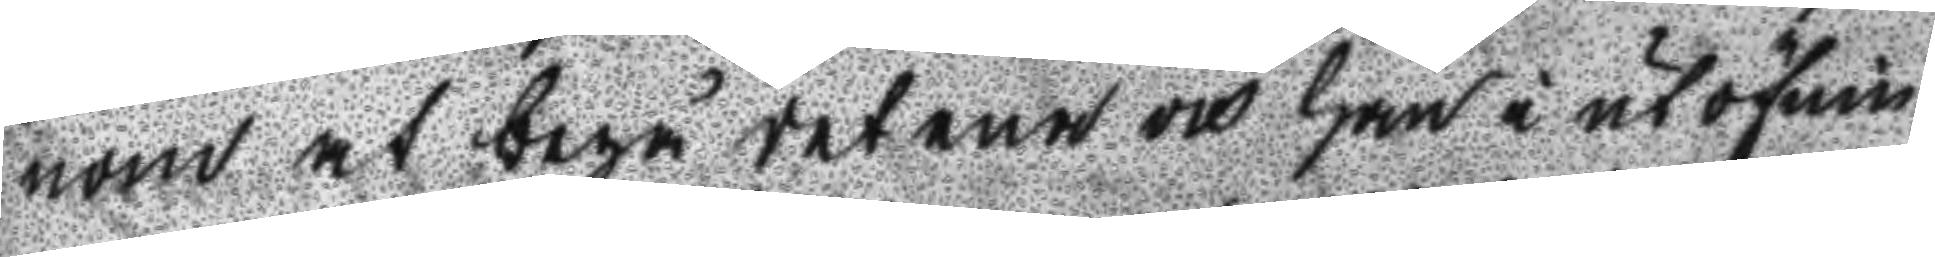nom at begå det ena och han i utöfnin
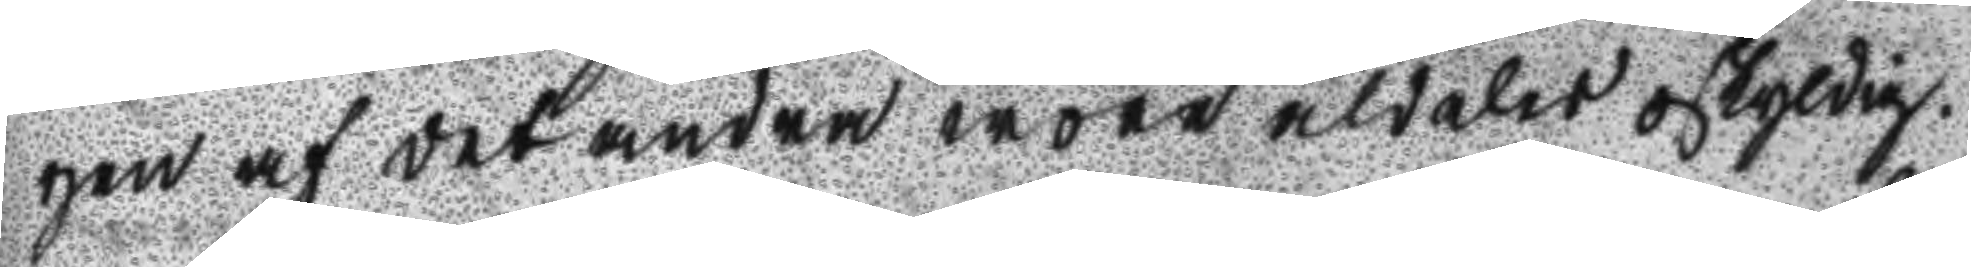gen af det andra wore aldeles oskyldig.
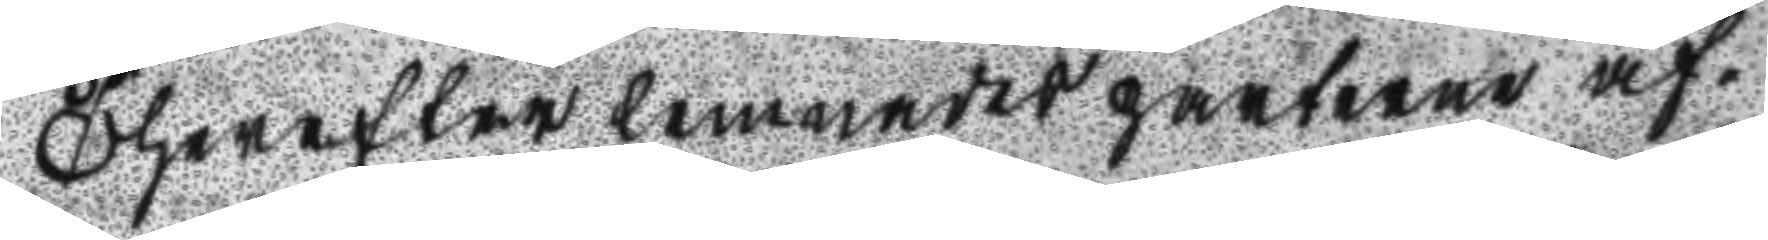Therefter lemnades parterne af¬
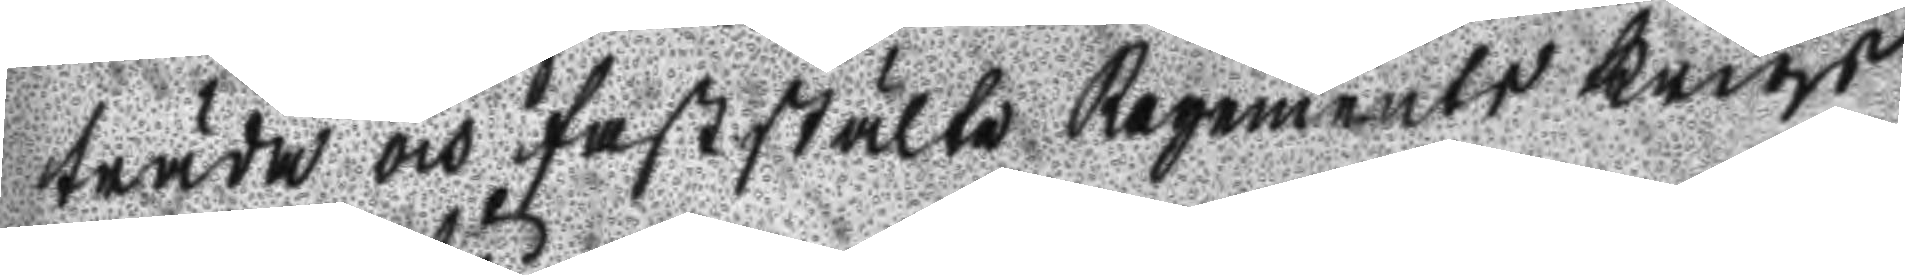träde och faststälte regements Krigs
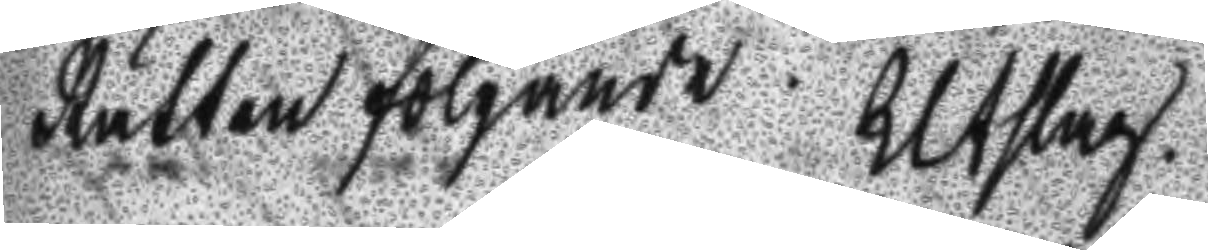Rätten följande Utslag
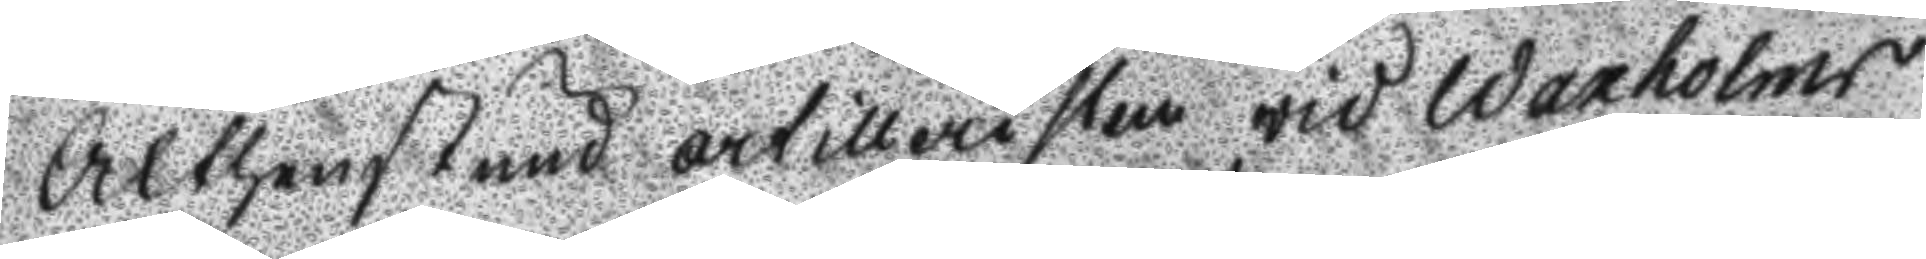Althenstund artillersiten wid Waxholms
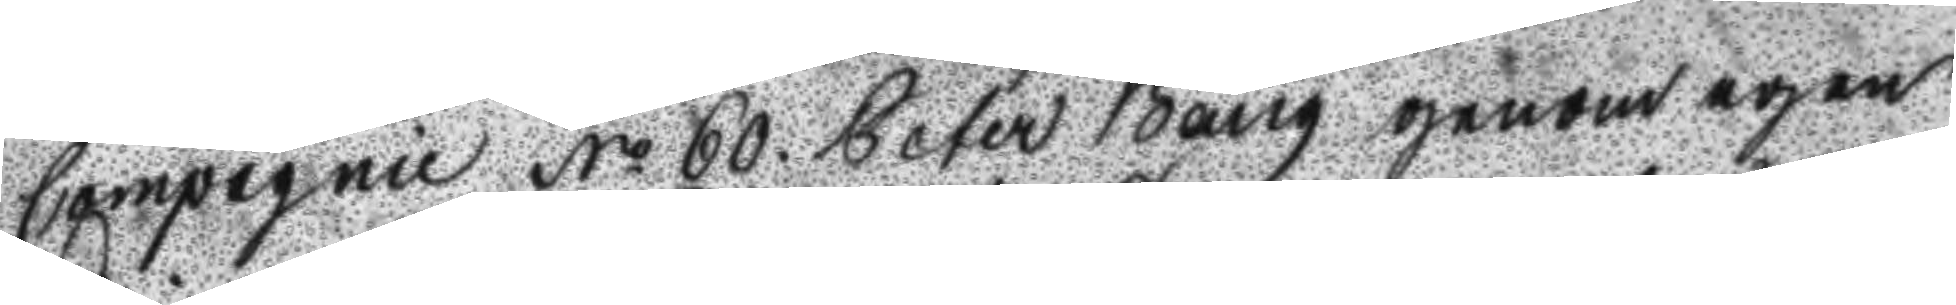Compagnie No 60. Peter Bång genom egen
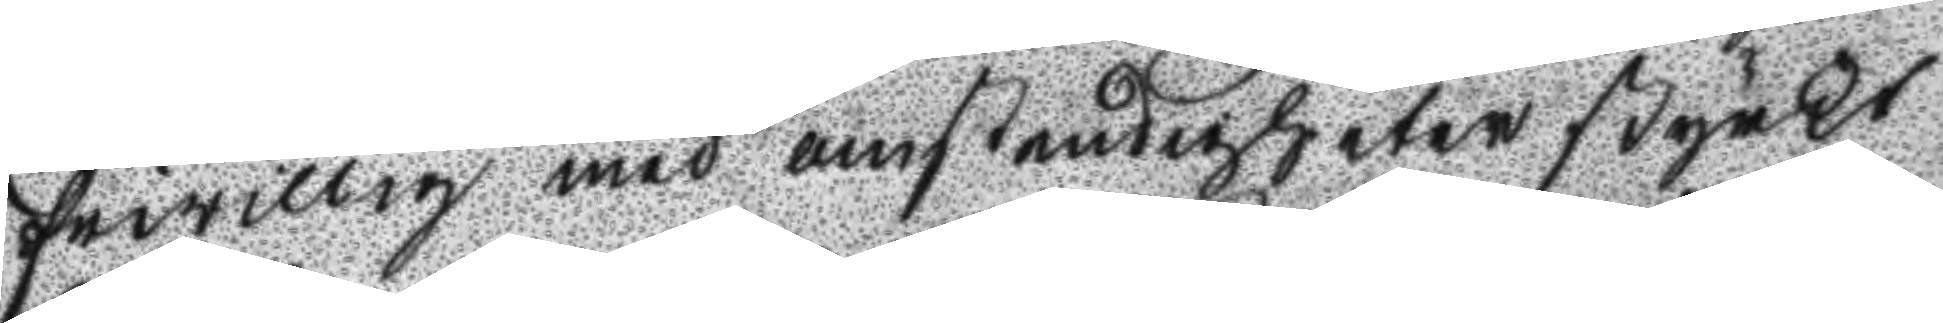friwilllig med omstendigheter styrkt
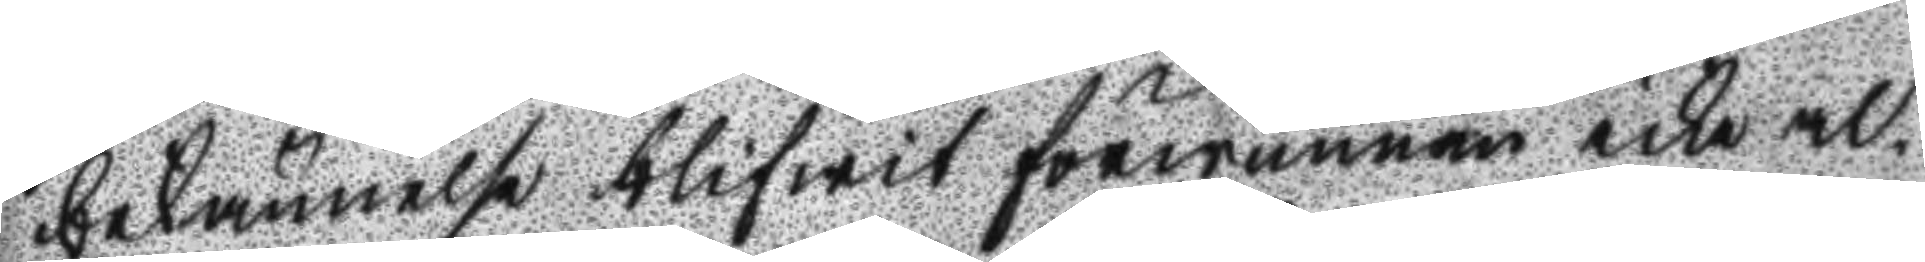bekännelse blifwit förwunnen icke al¬
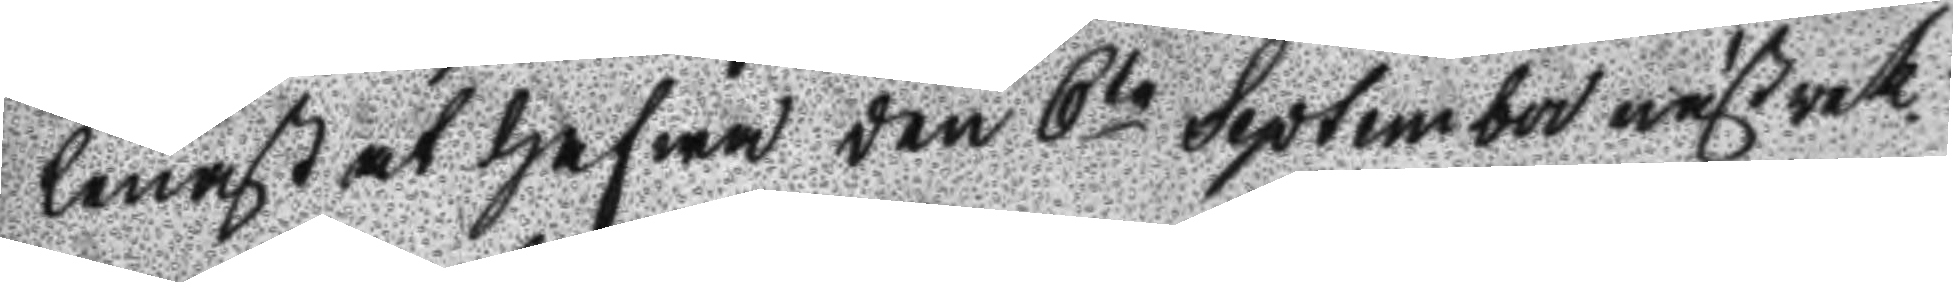lenast at hafwa den 6te September nästewek¬
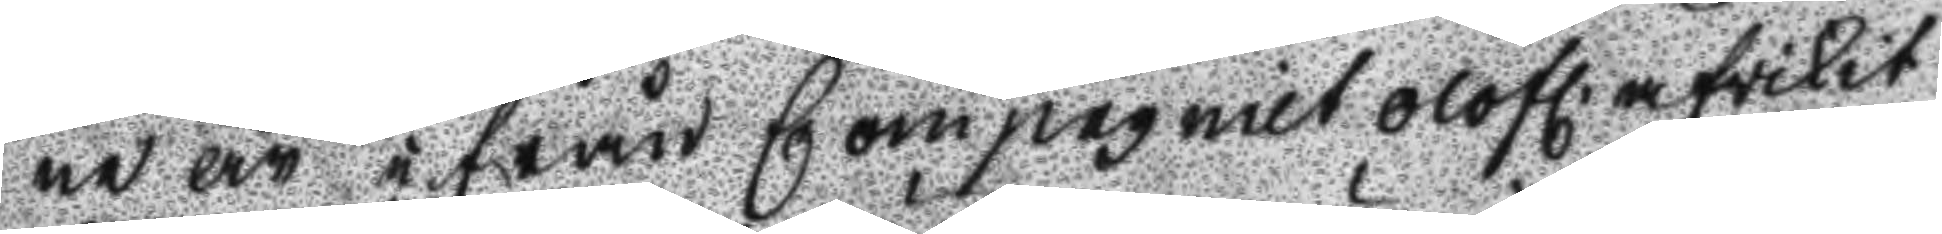ne år ifrån Compagniet olofl. afwikit
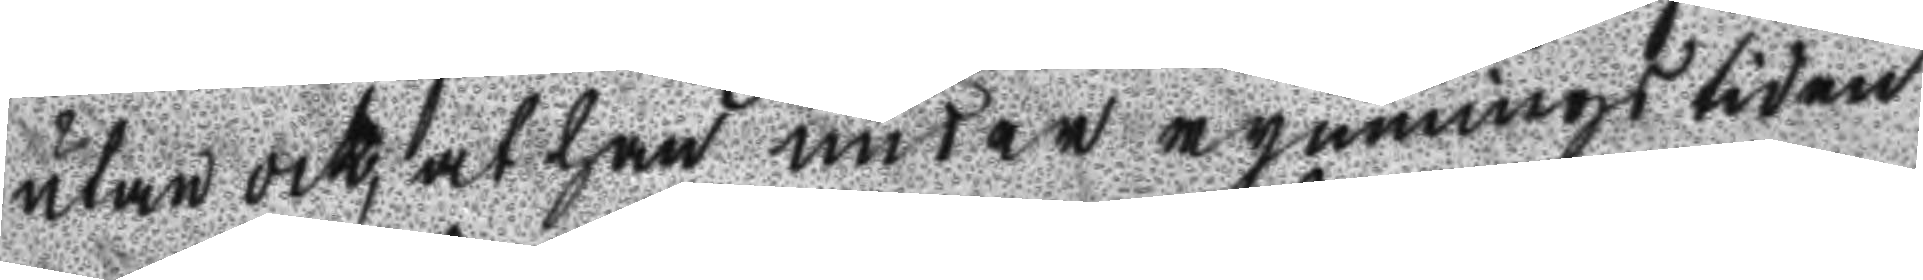utan ock, at han under rymnings tiden
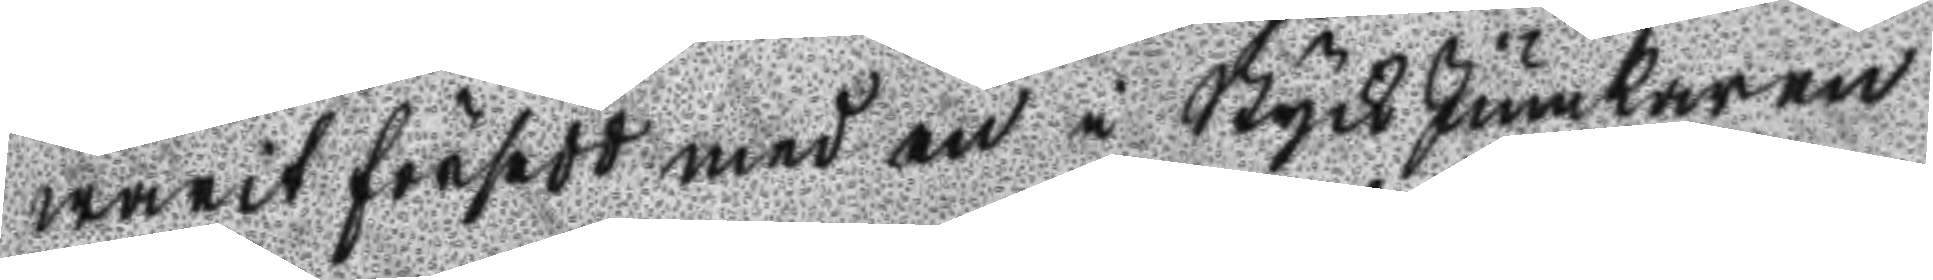warit försedd med en i StyckJunkaren
